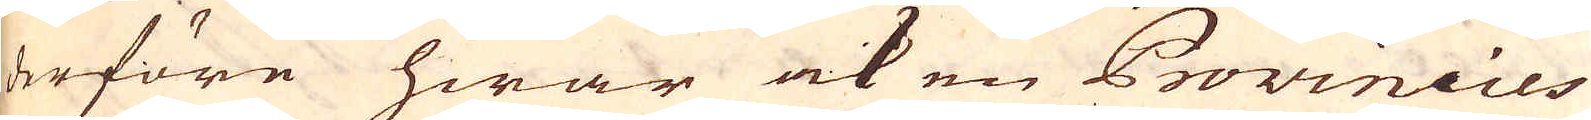derföre hwar ock en Provincies
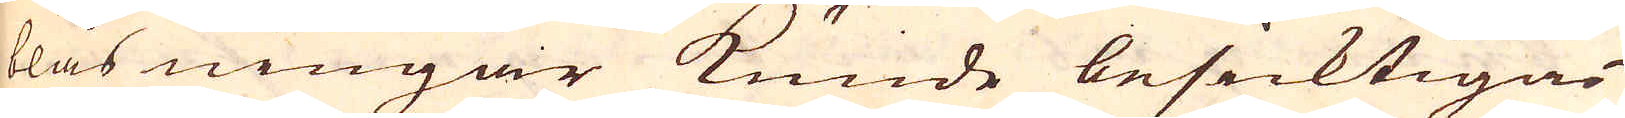blåsningar kunde besicktigas
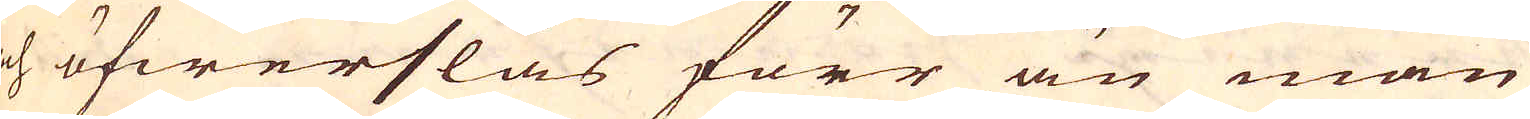och öfwerslås förr än man
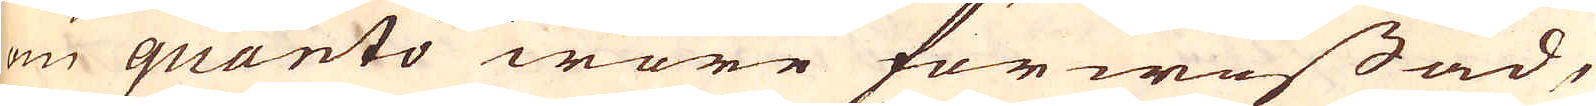om quanto wore förwissad,
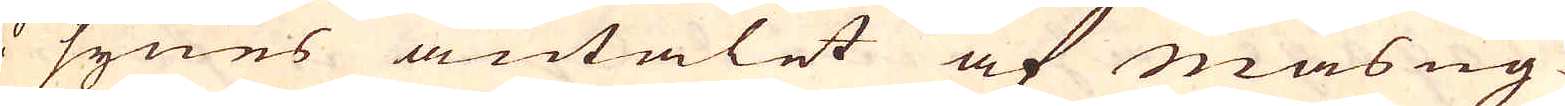så synes antalet af masug-
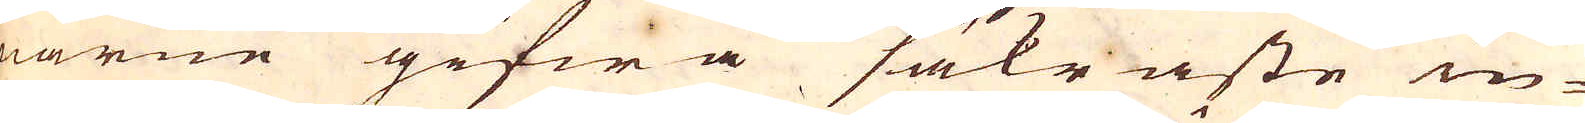narne gifwa säkraste in-
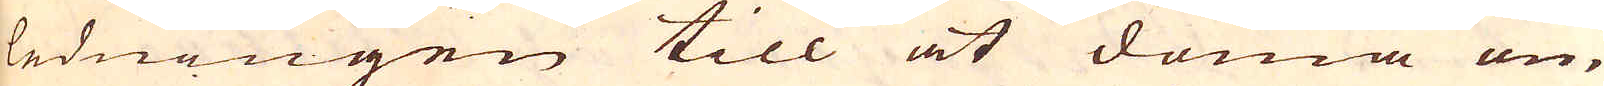ledningen till at döma om
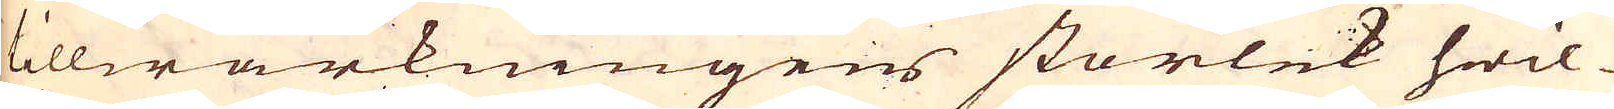tillwärkningens storlek hwil-
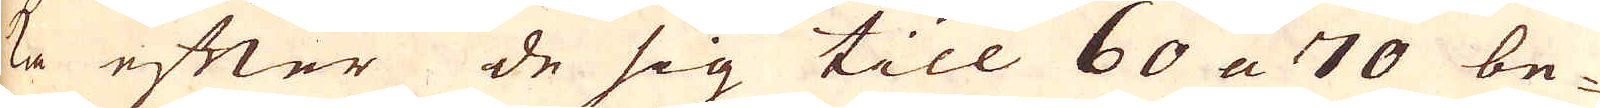ka efter de sig till 60 a 70 be-
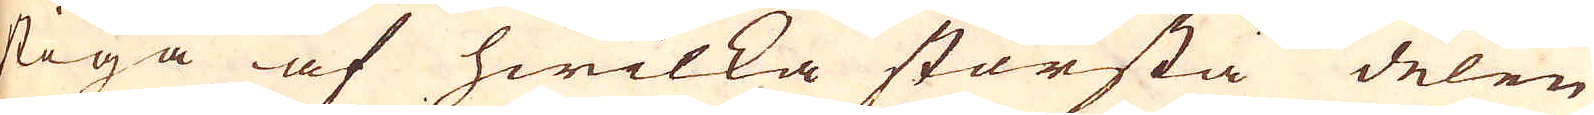stiga af hwilka största delen
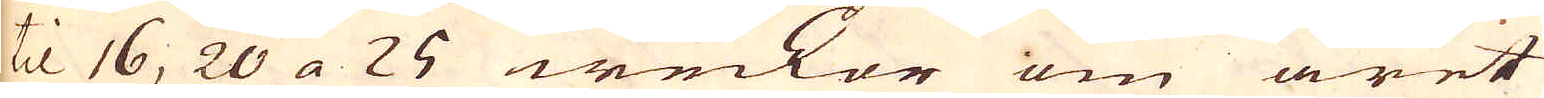til 16, 20 a 25 weckor om året
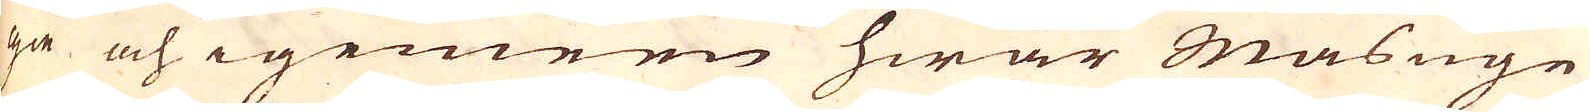gå och i gemeen hwar Masugn
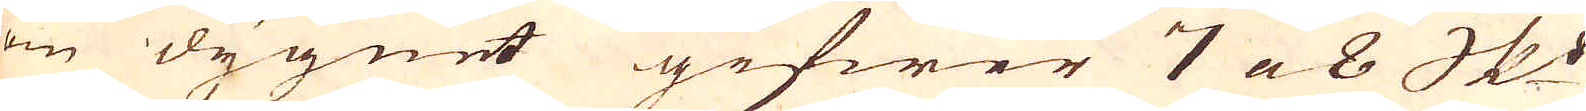om dygnet gifwer 7 a 8 skeppund
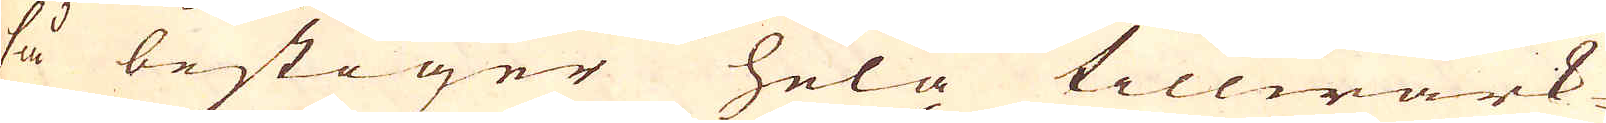så bestiger hela tillwärk-
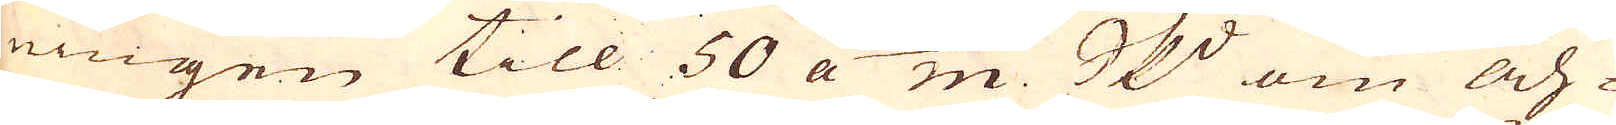ningen till 50 a 60/m skeppund om åh-
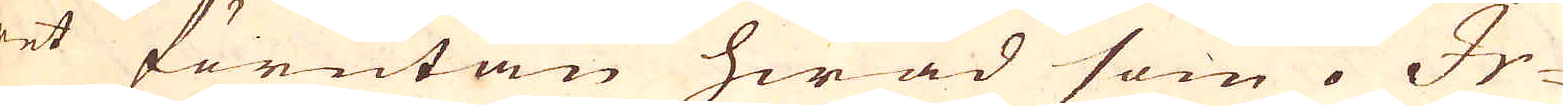ret förutan hwad som i Ir-
